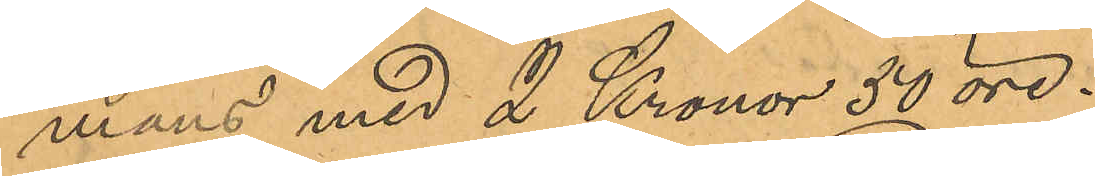mans med 2 Kronor 50 öre.
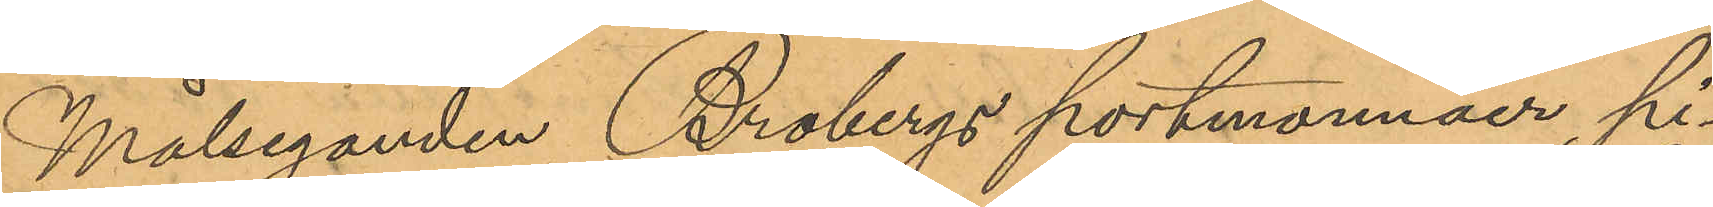Målseganden Brobergs portmonnäer pi¬
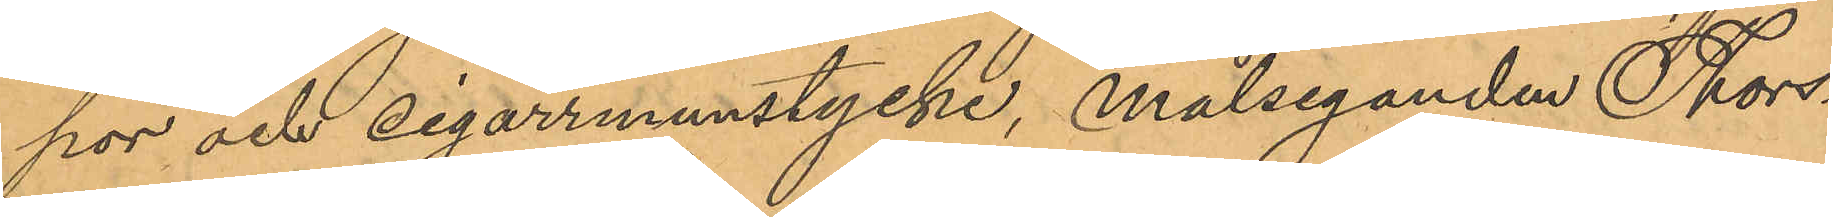por och cigarrmunstycke, Målseganden Thors¬
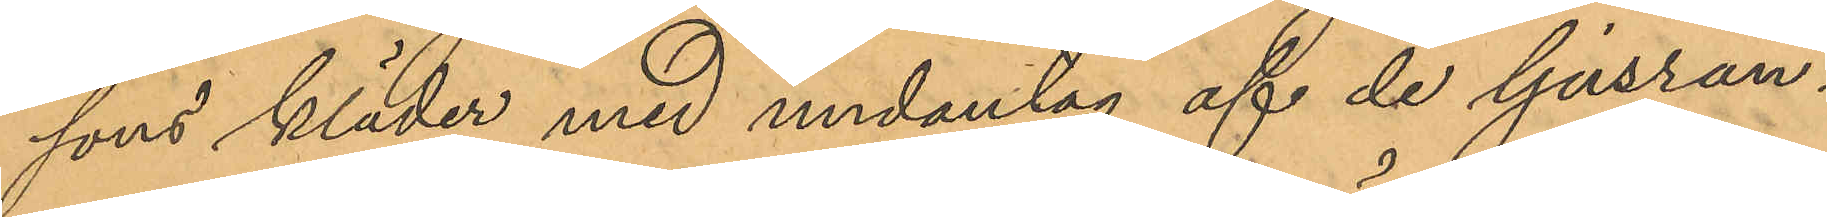sons kläder med undantag af de ljusran¬
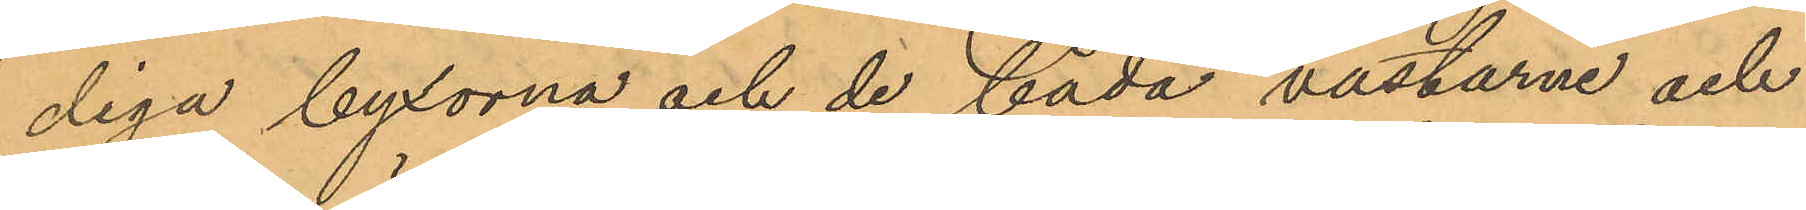diga byxorna och de båda västarne och
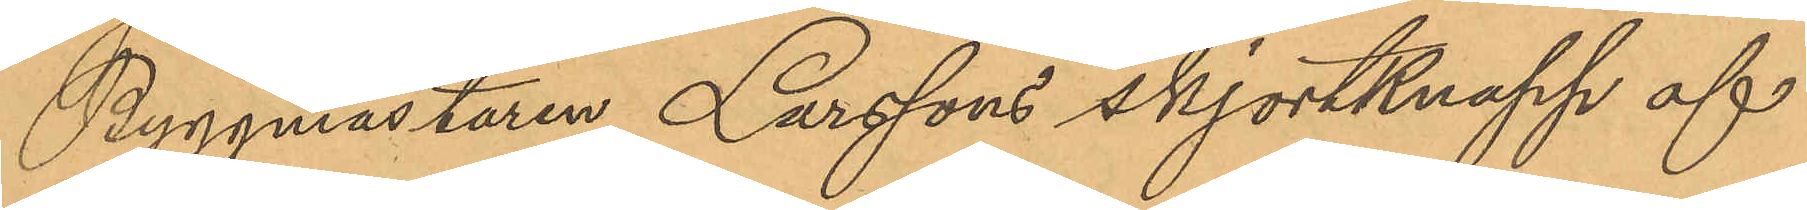Byggmästaren Larssons skjortknapp af
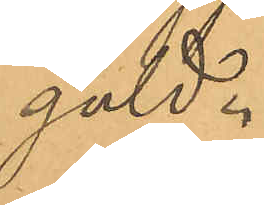guld.
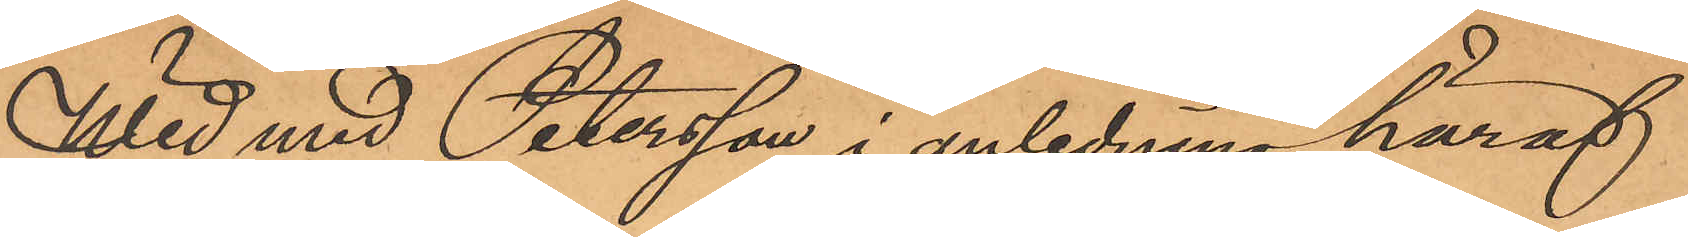Wid med Petersson i anledning häraf
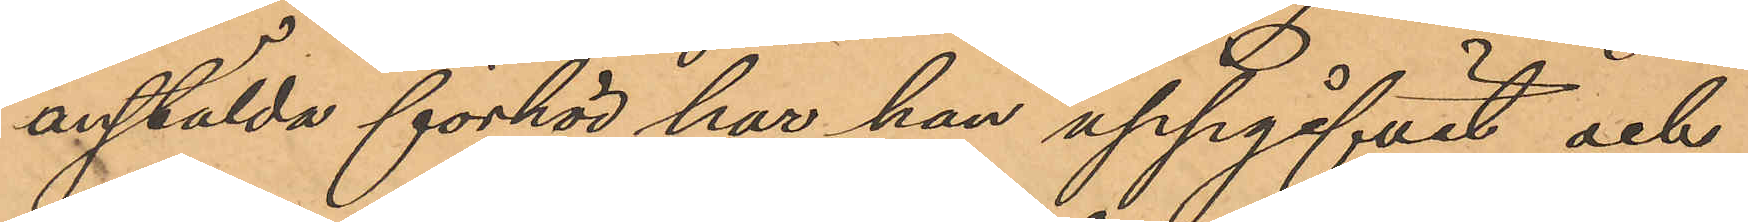anstälda förhör har han uppgifvit och
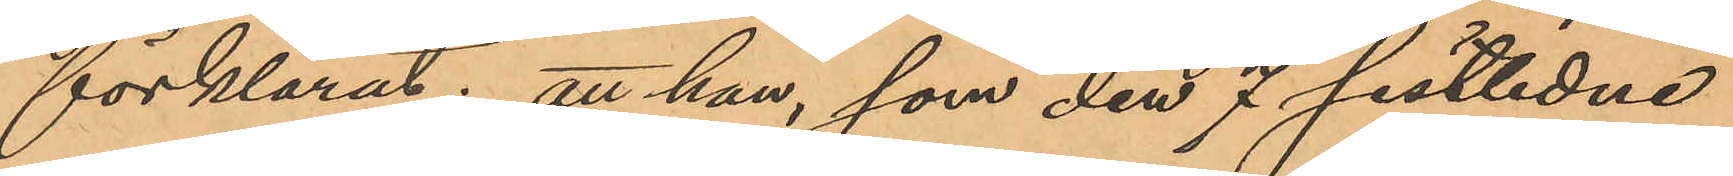förklarat; att han, som den 7 sistlidne
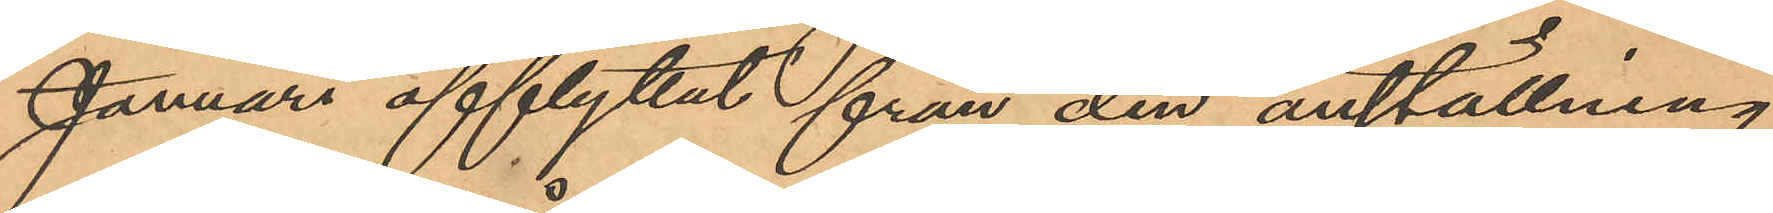Januari afflyttat från den anställning
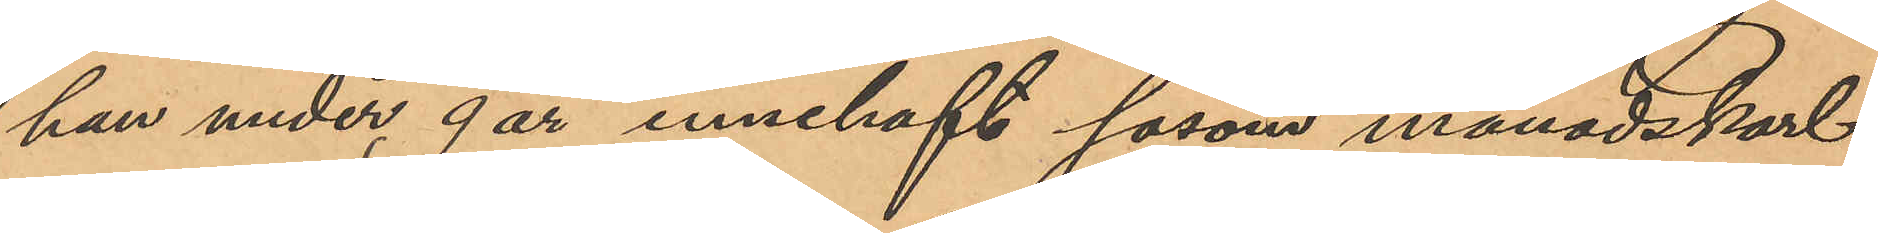han under 9 år innehaft såsom månadskarl
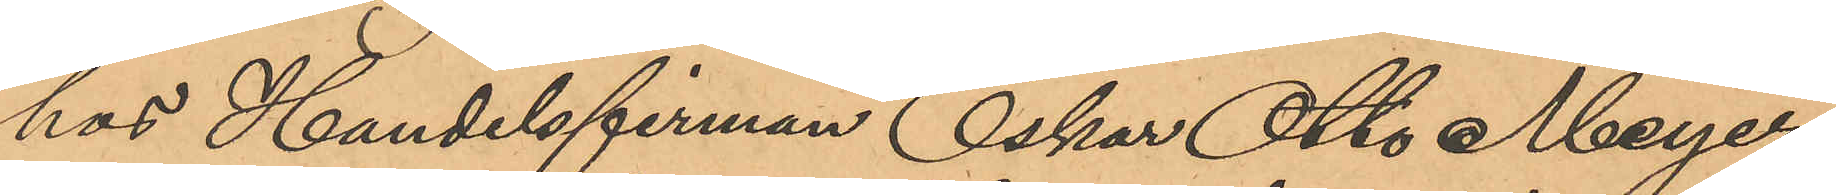hos Handelsfirman Oskar Otto Meyer,
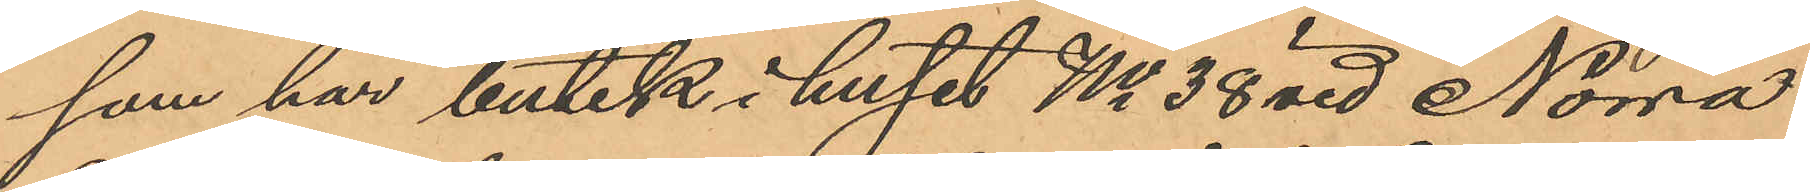som har butik i huset No 38 vid Norra
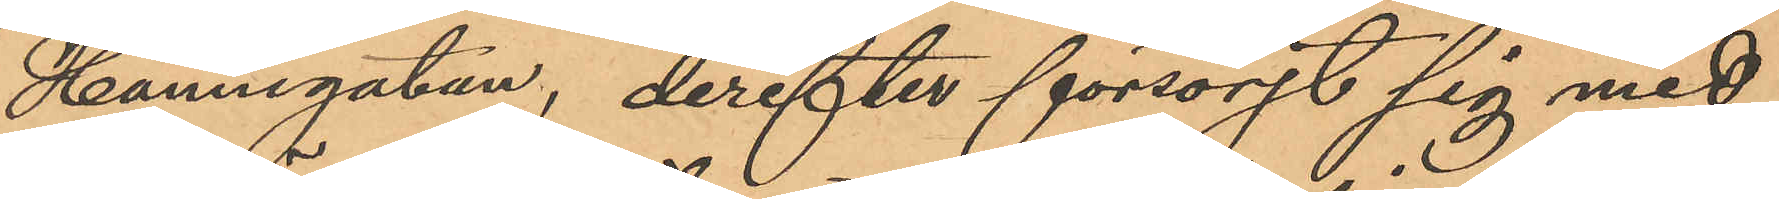Hamngatan, derefter försörjt sig med
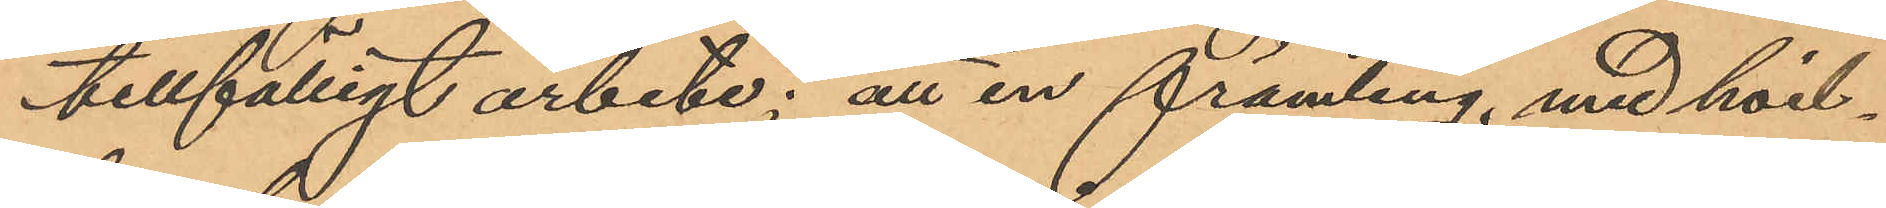tillfälligt arbete; att en främling, med hvil¬
